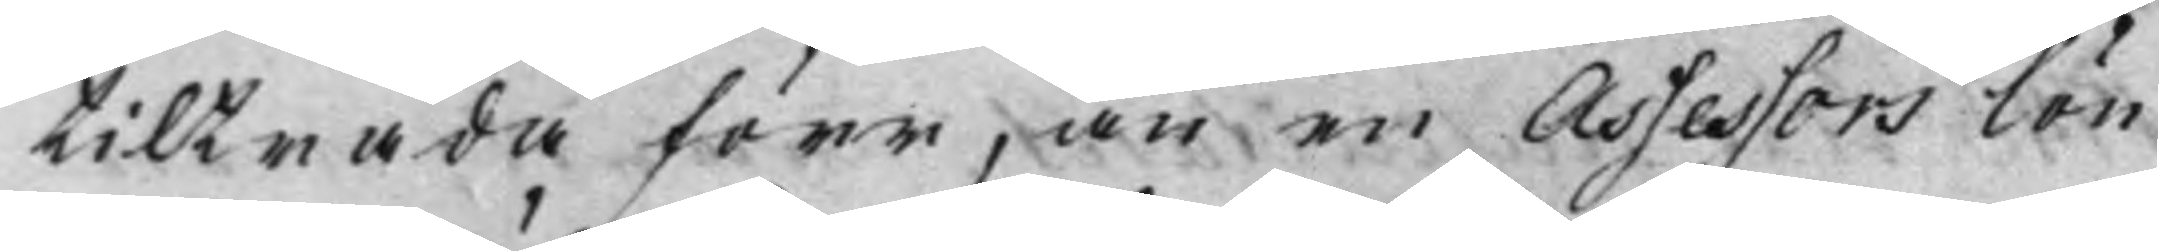tilträda förr, än en Assessors lön
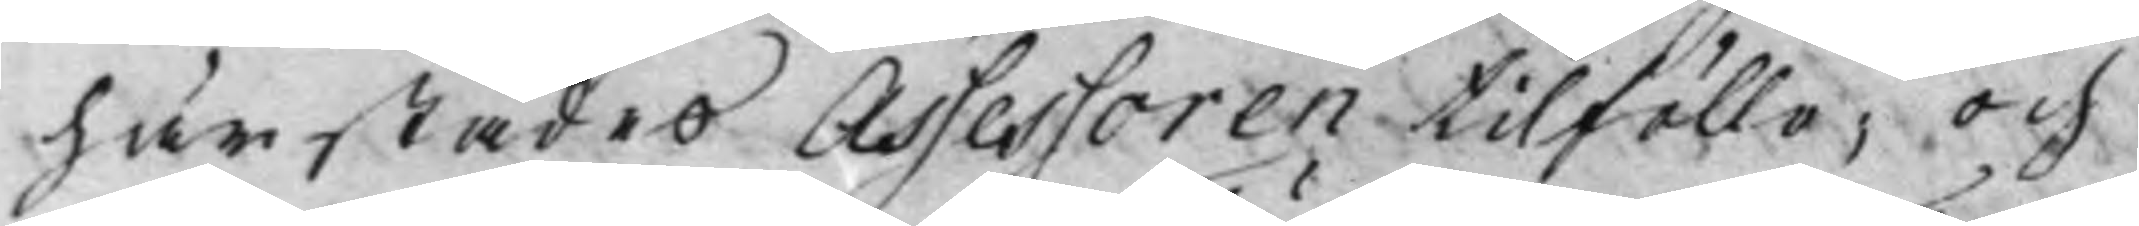härstädes Assessoren tilföllo, och
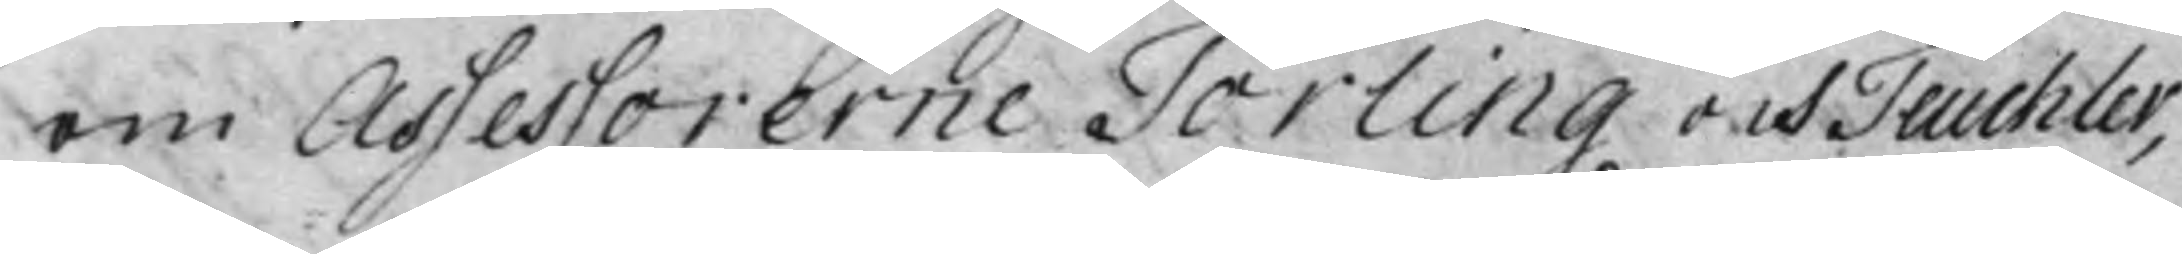om Assessorerne Törling och Teuhcler,
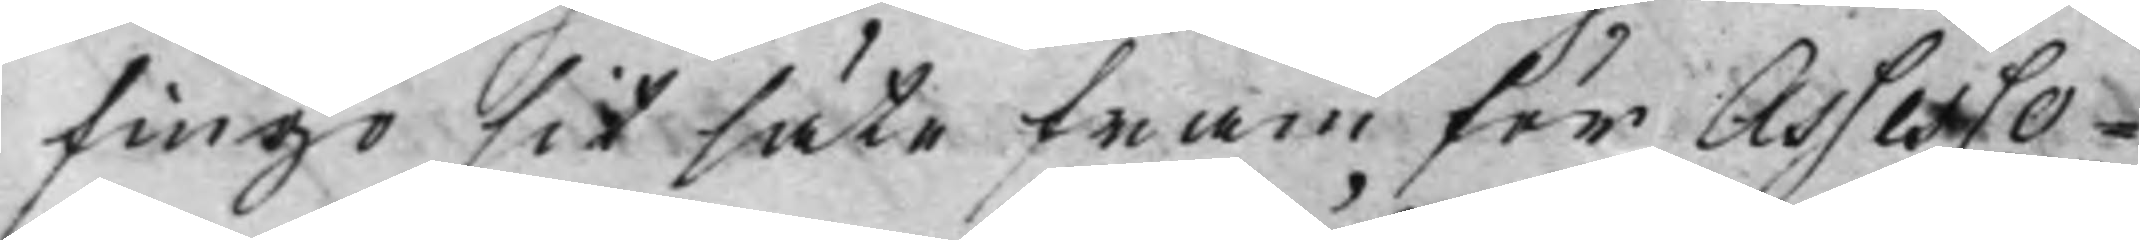fingo sit säte fram för Assesso¬
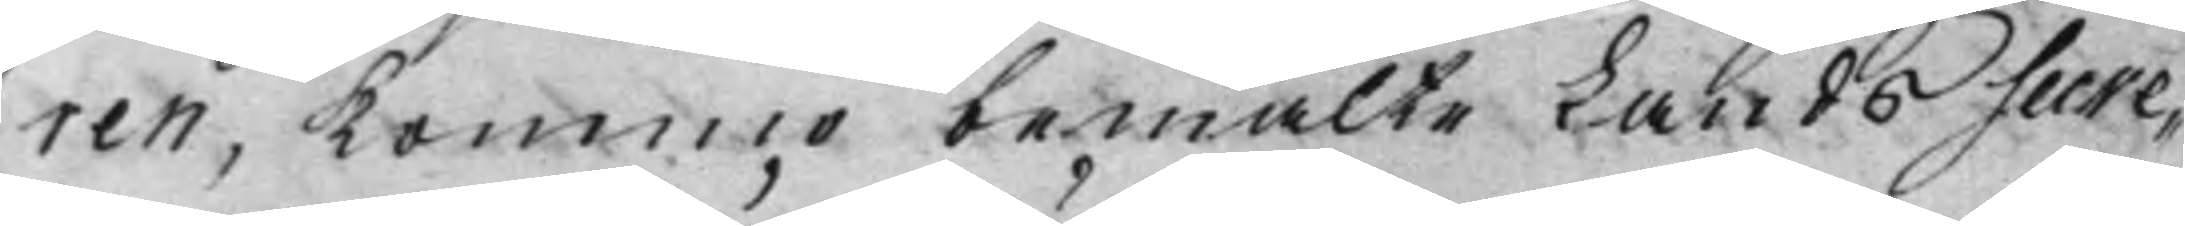ren, Kommo bemälte Lands Secre¬
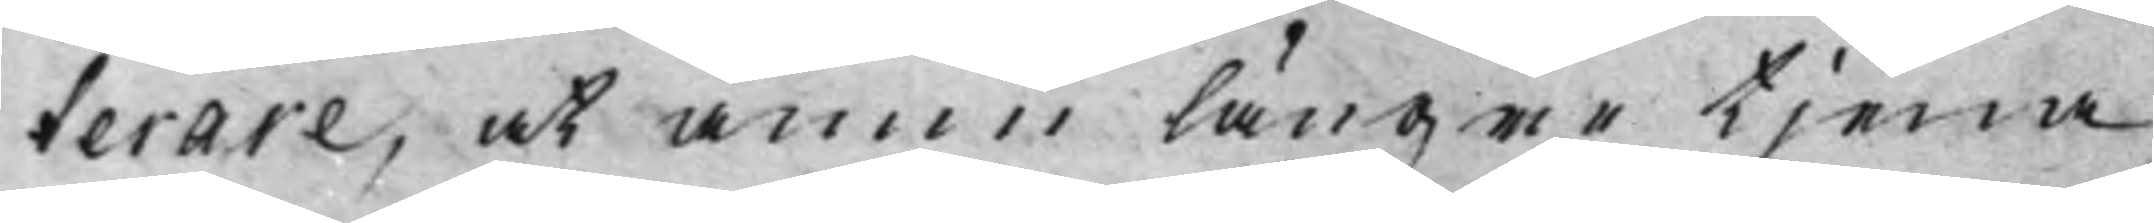terare, at ännu längre tjena
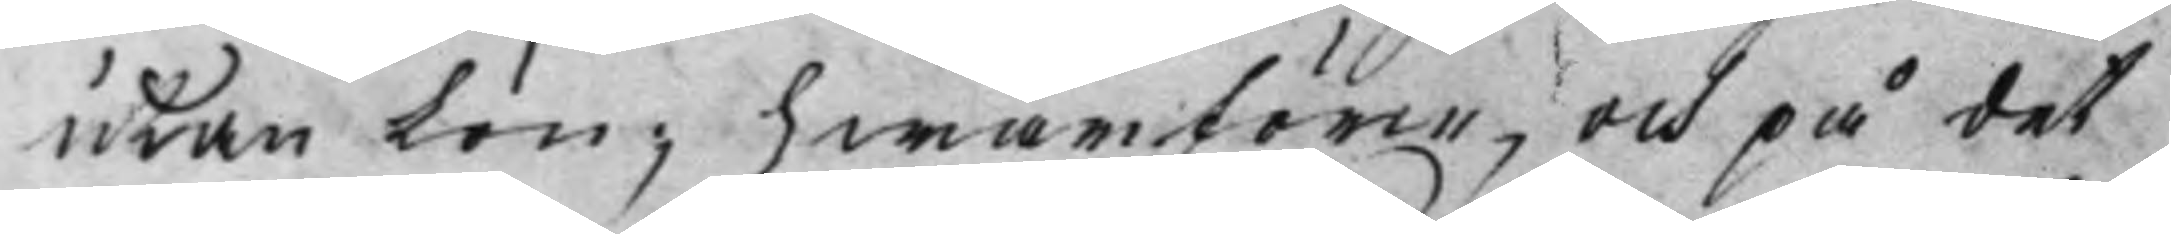utan Lön; hwarföre, och på det
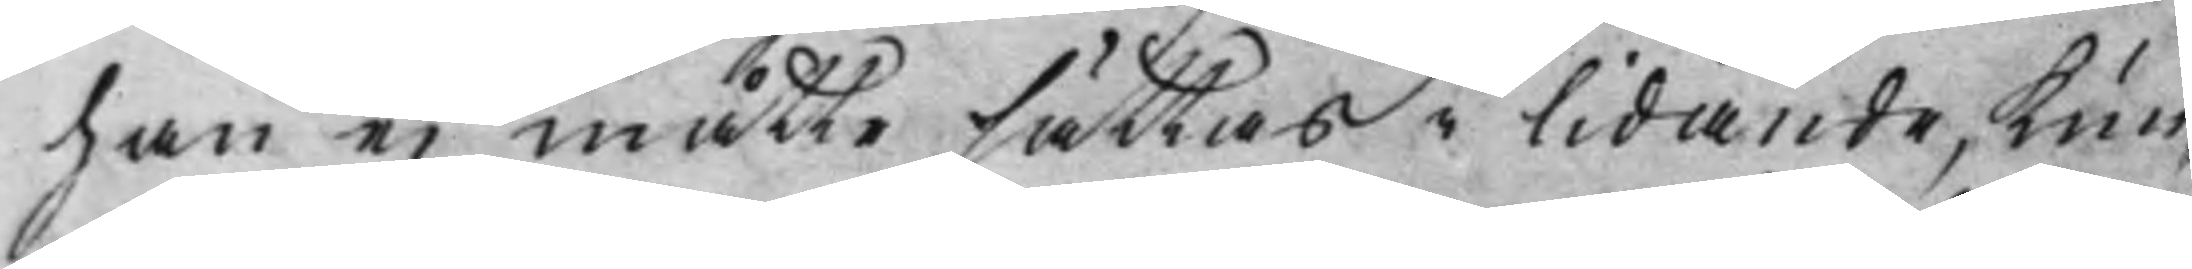han ei måtte sättas i lidande, Kun¬
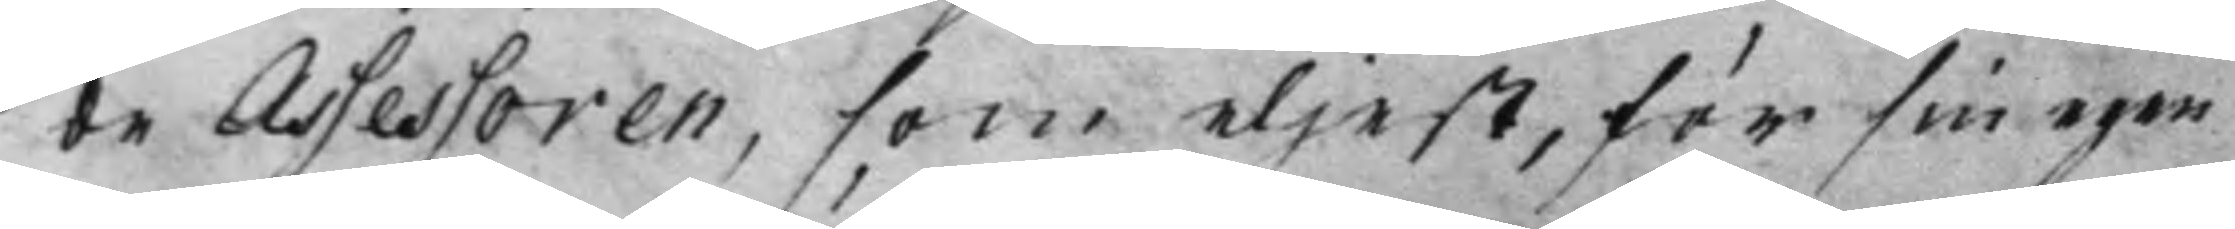de Assessoren, som eljest, för sin egen
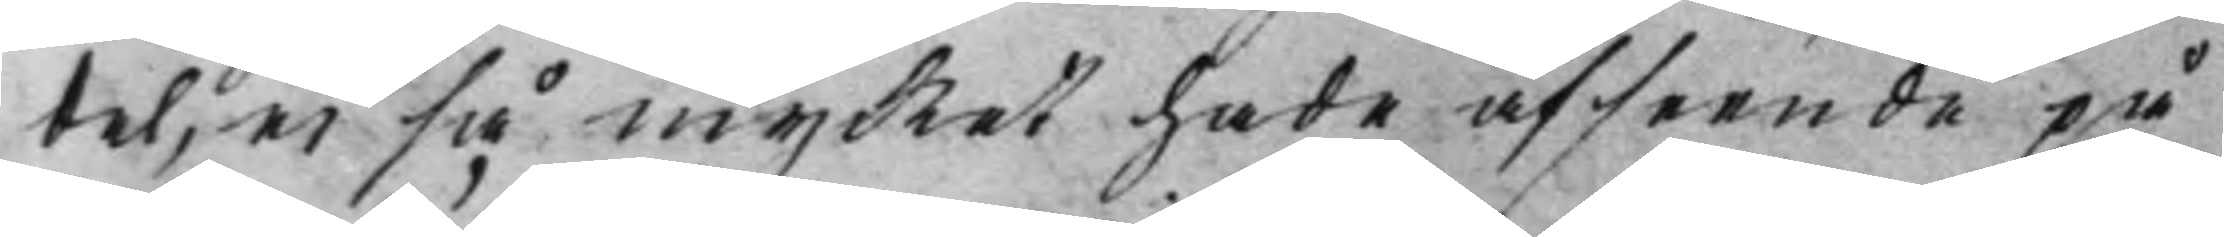del, ei så mycket hade afseende på
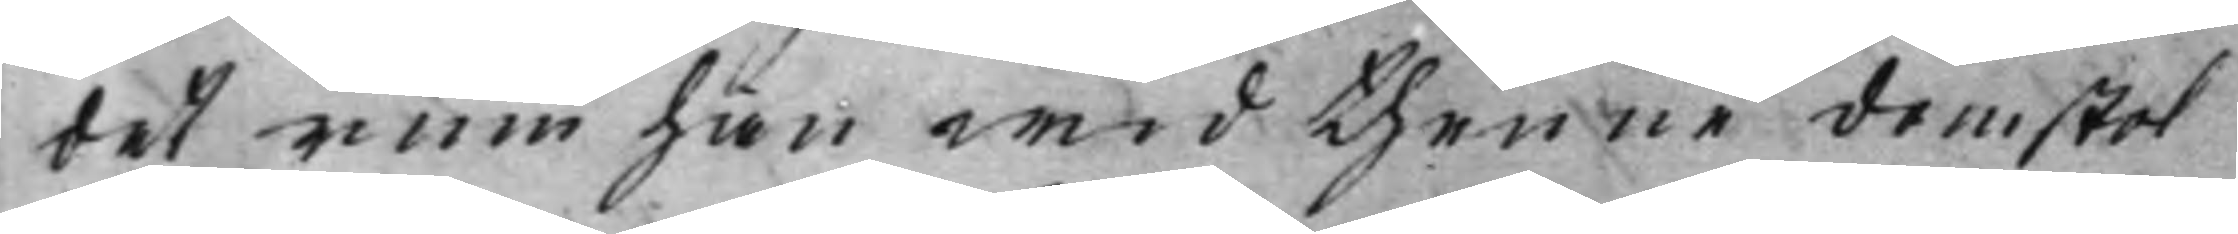det rum han wid thenne domstol
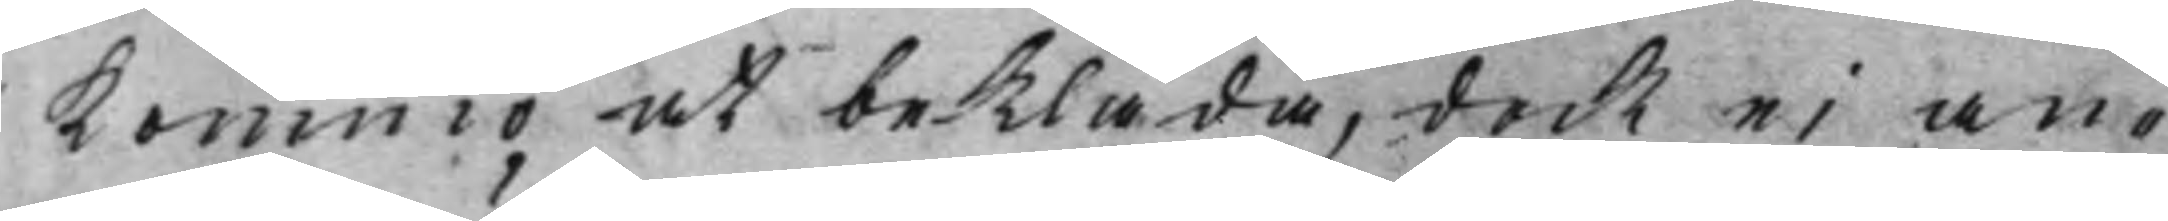Kommo at bekläda, dock ei an¬
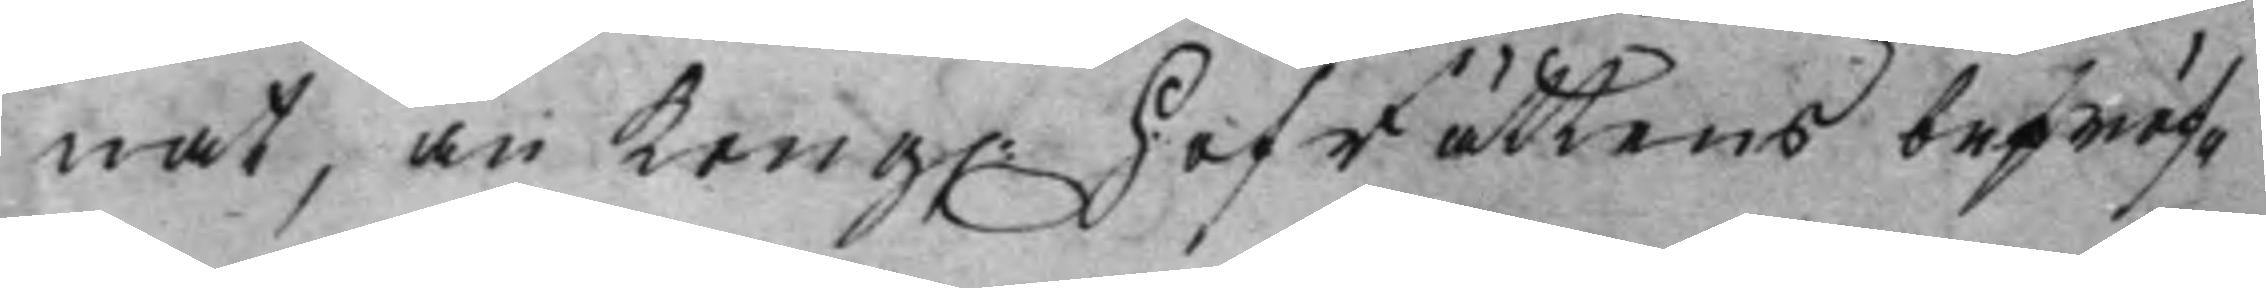nat, än Kong. HofRättens bepröf¬ 
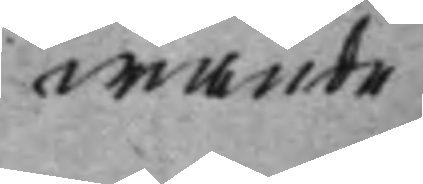wande
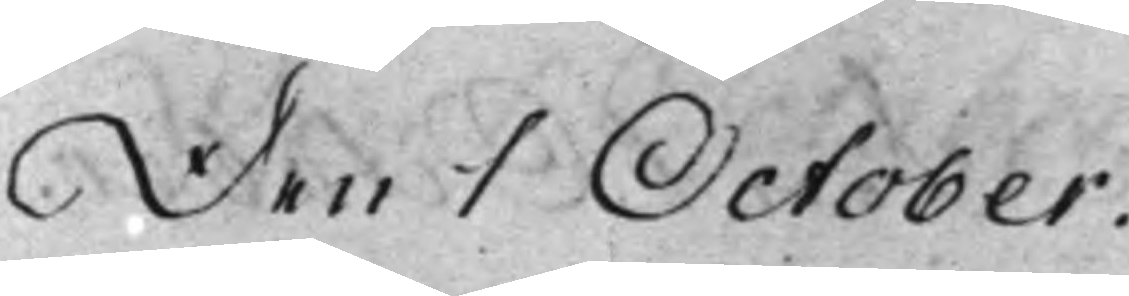Den 1 October.
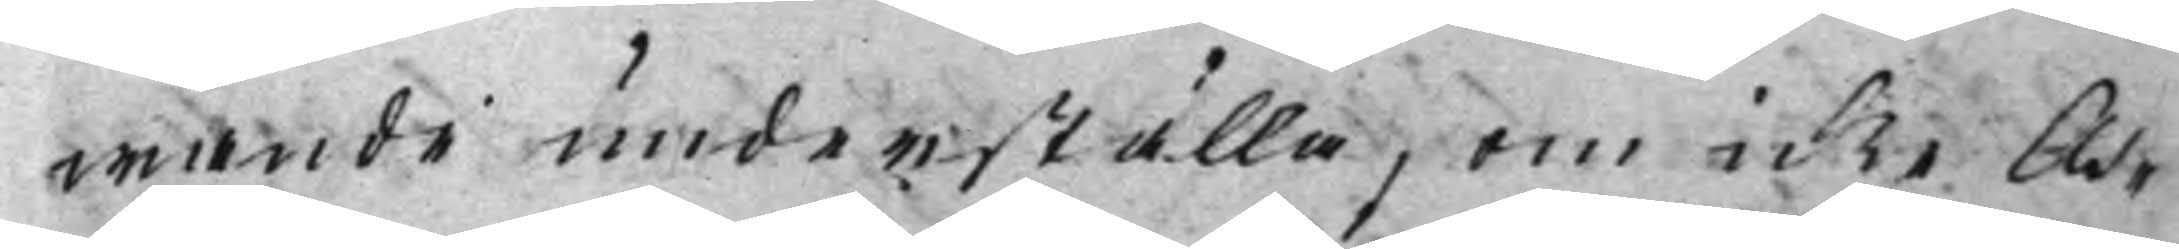wande underställa, om icke As¬
